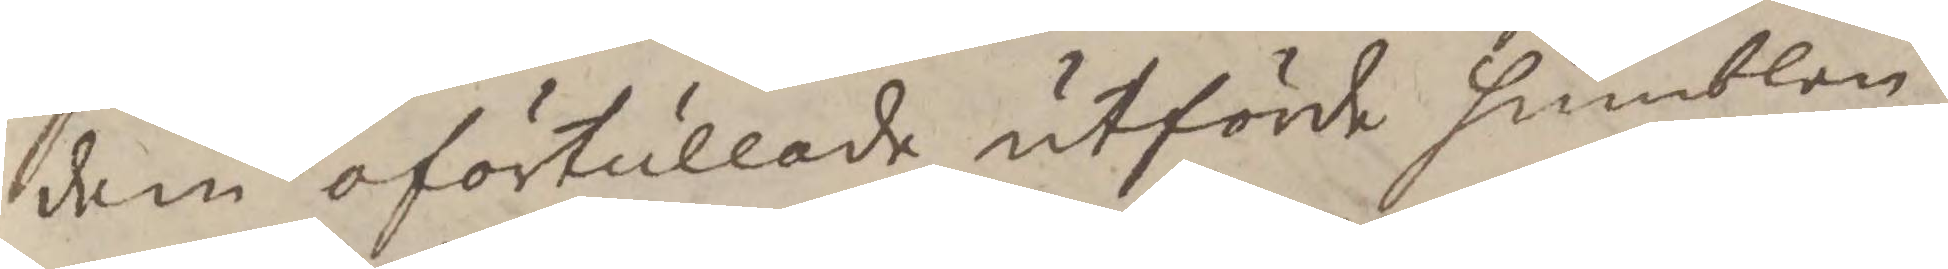dem oförtullade utförde humblen
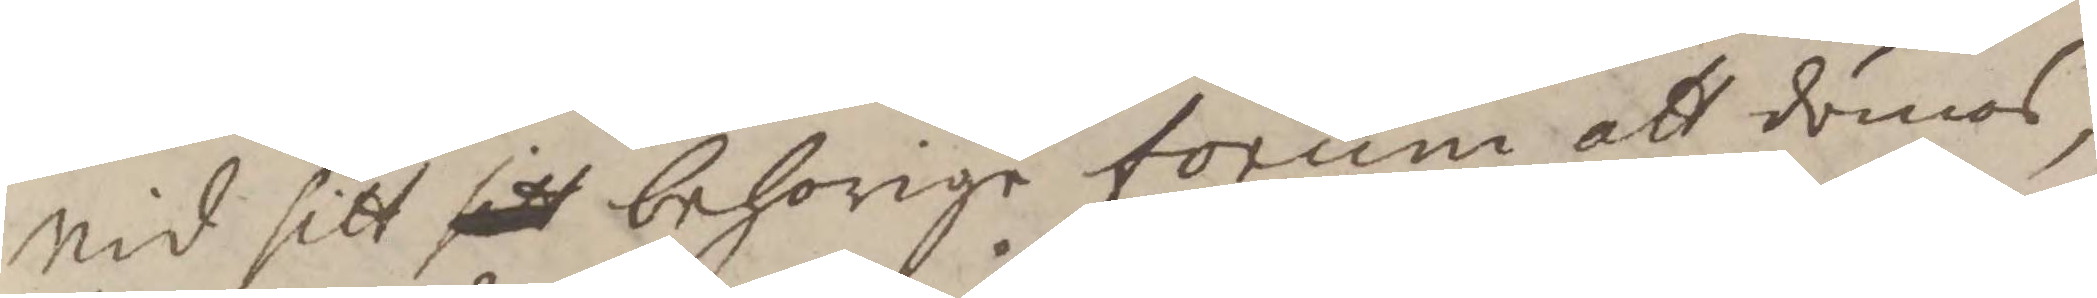vid sitt sitt behorihe forum att dömas
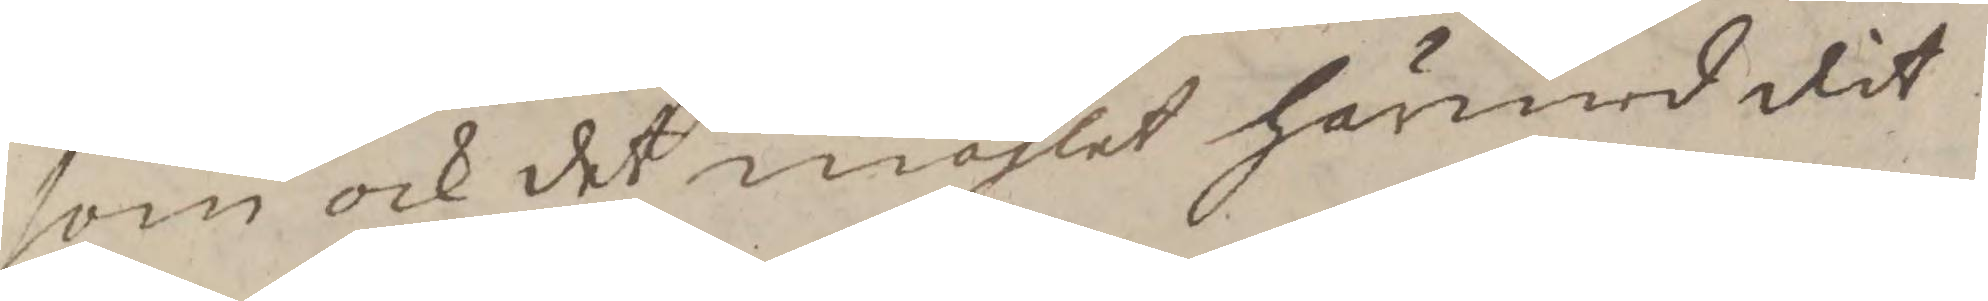som ock det måhlet härmed dit
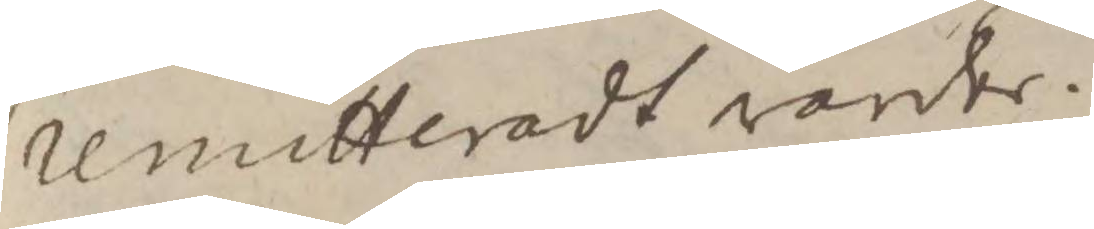remitteradt varder.
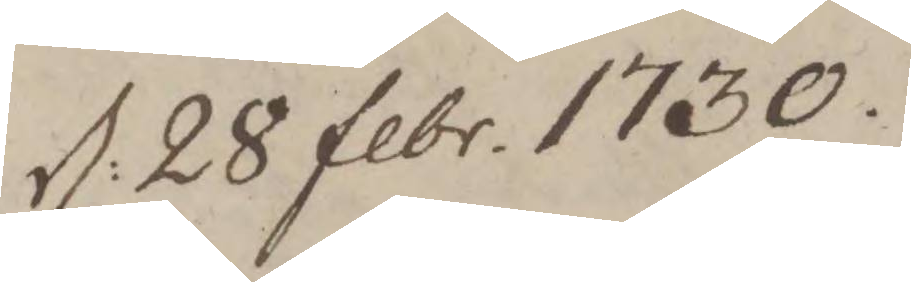d: 28 febr. 1730.
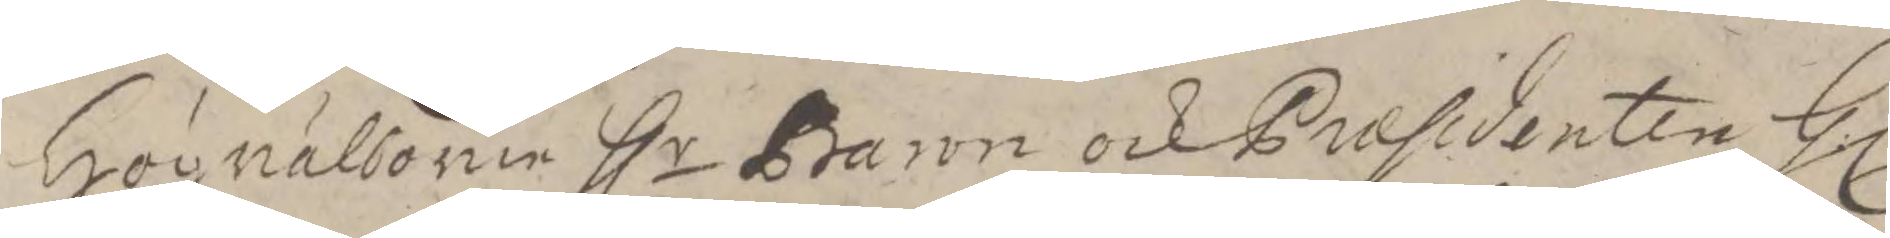Högvälborne Hlr Baron och Præsidenten Hl:
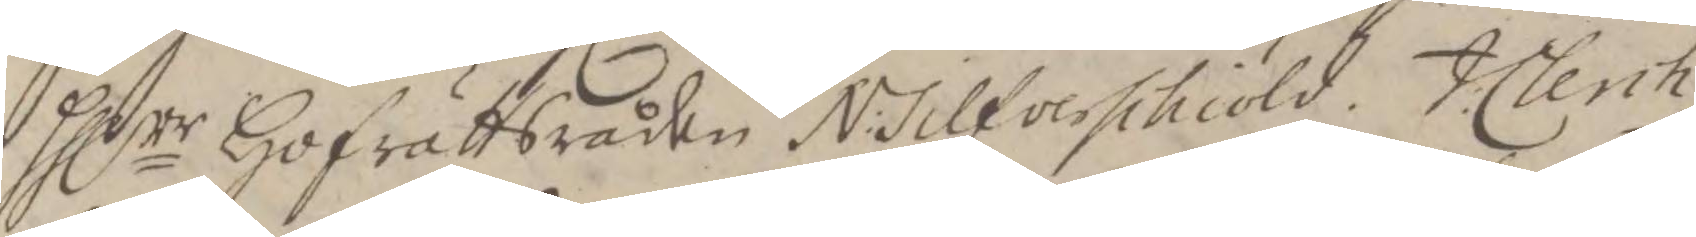Hllrr Hogrättsråden N:Silverschiöld, J:Clerch.
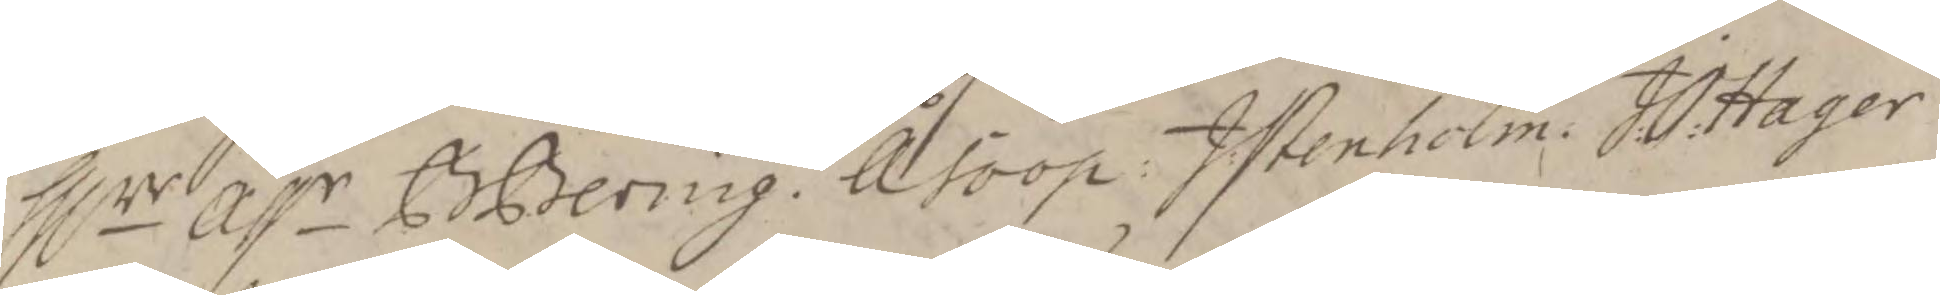Hlrr Assr B.Bering. Å. Soop. J: Stenholm. J:O:Hager
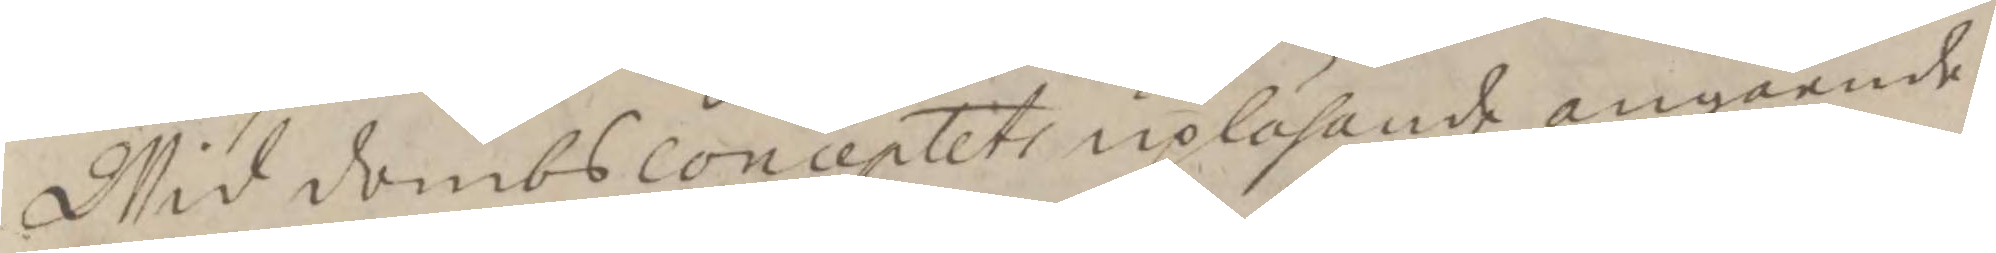Wid dombsconceptets upläsnade angående
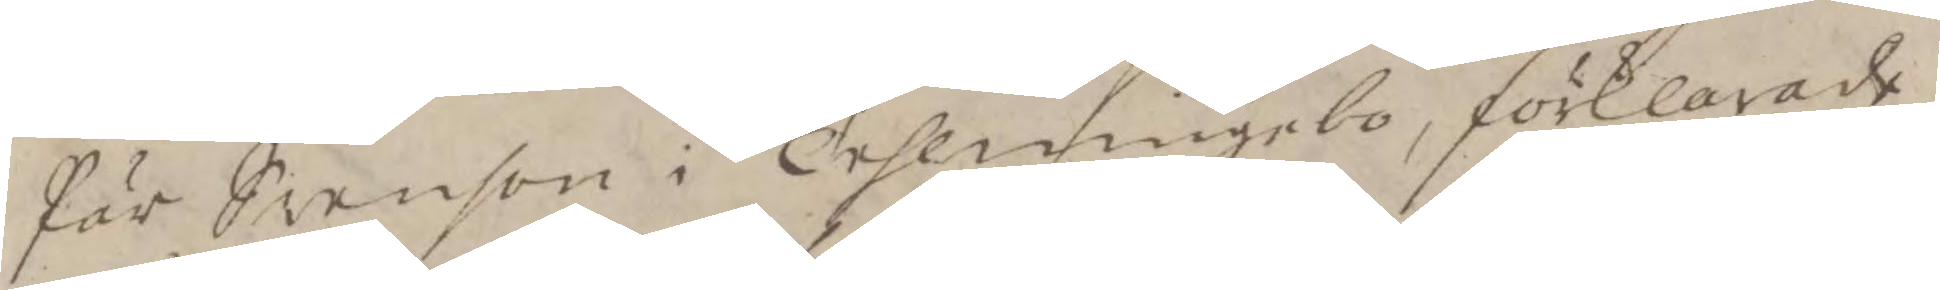Pär Swenson i Trhemingebo, förkalrade
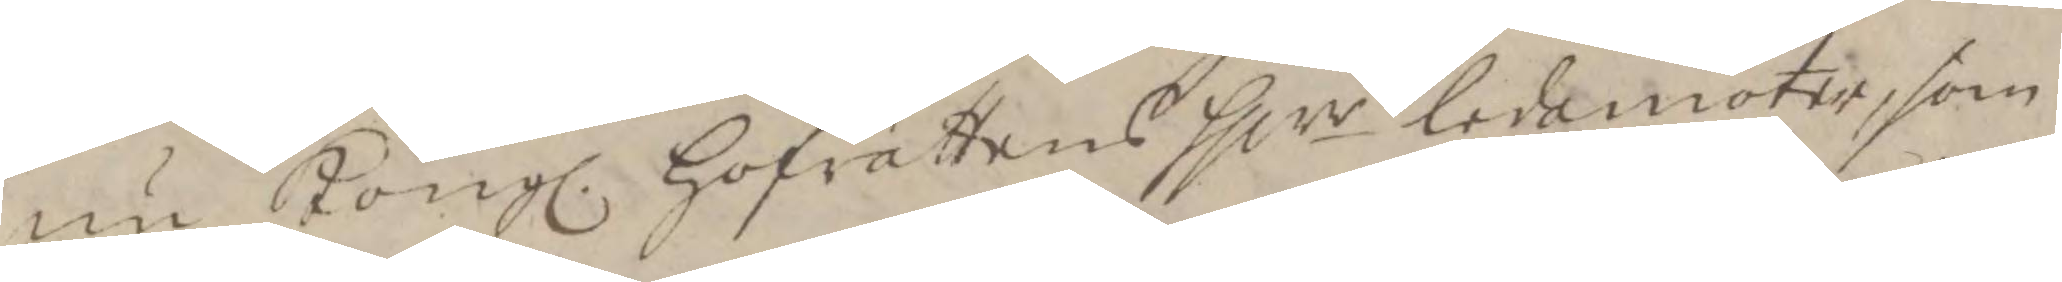nu Kongl. Hofrättens Hllrr ledamöter, som
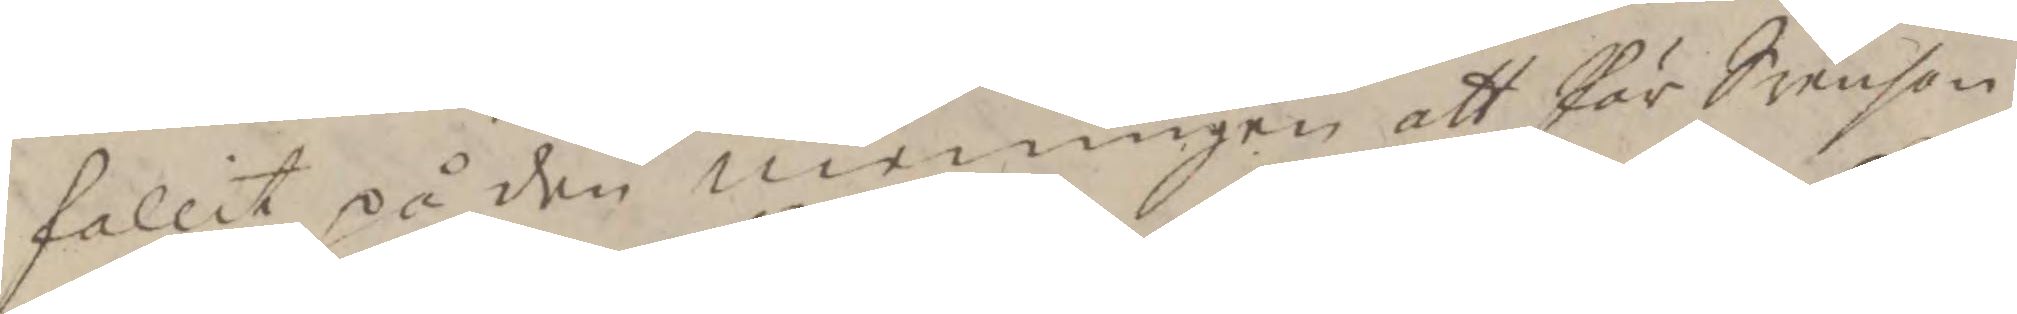fallit på den meningen att Pär Svenson
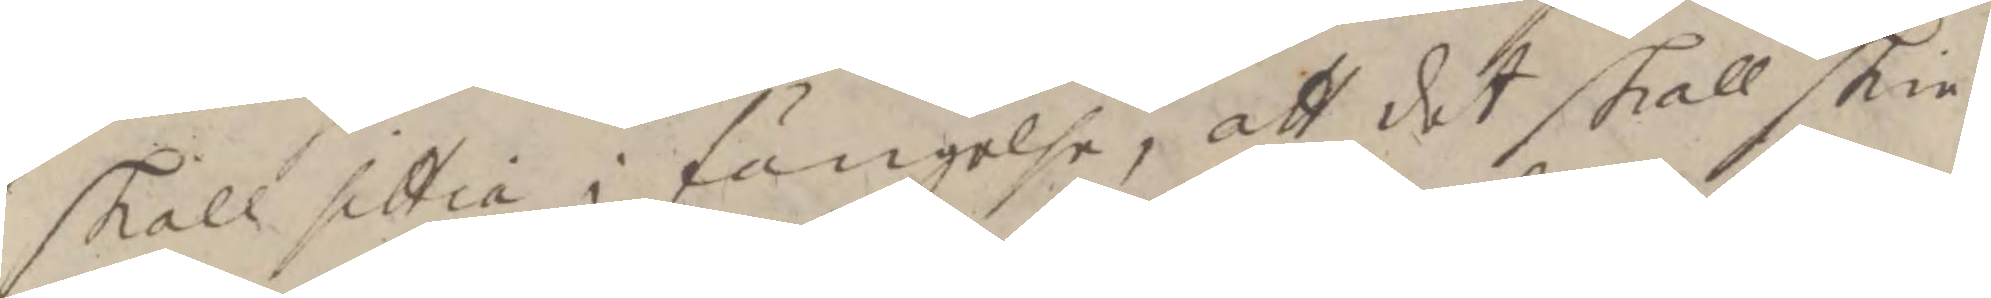skall sittia i fängelse, att det skall skie
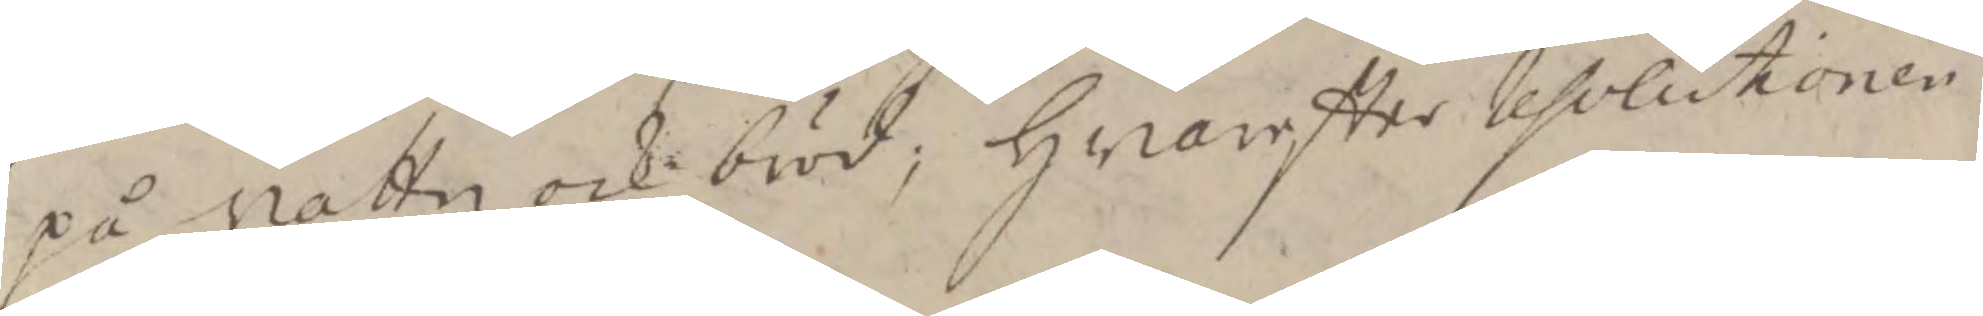på vattn och bröd; hwareftter Resolutionen
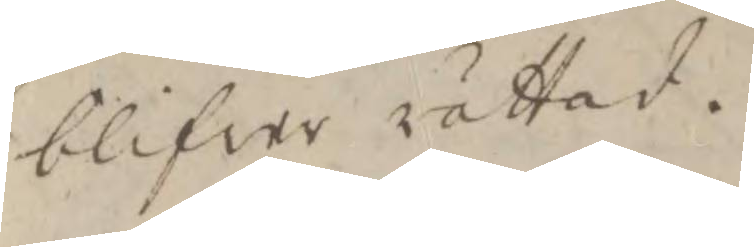blifver rättad.
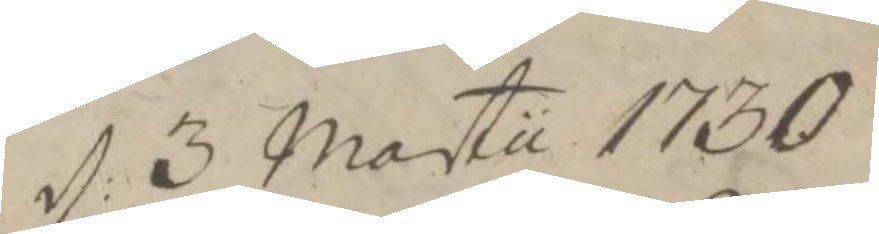d: 3 martu 1730
